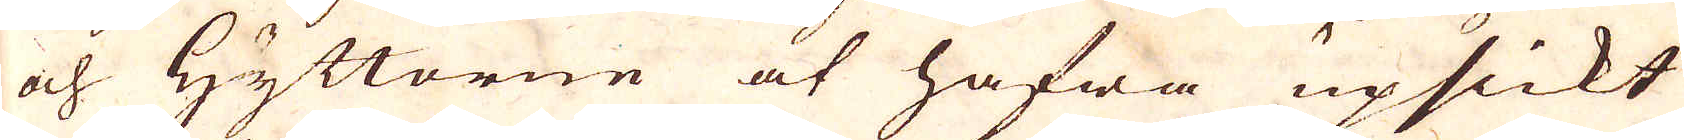och Hyttorne at hafwa upsickt
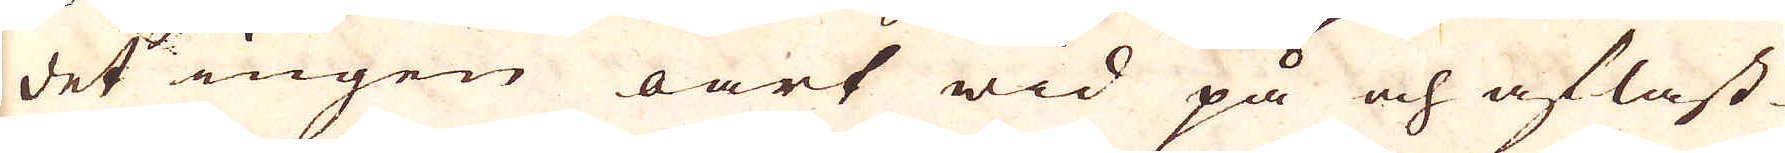det ingen oart wid på och aflast-
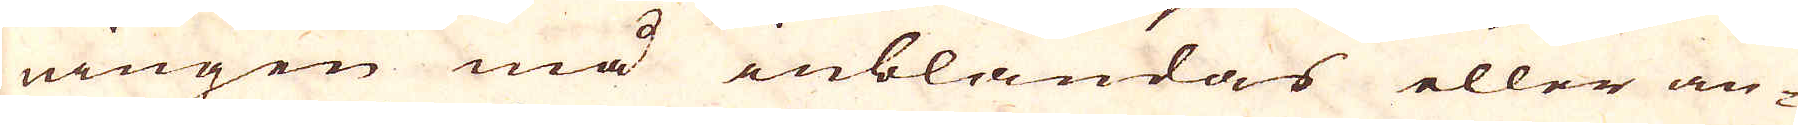ningen må inblandas eller an-
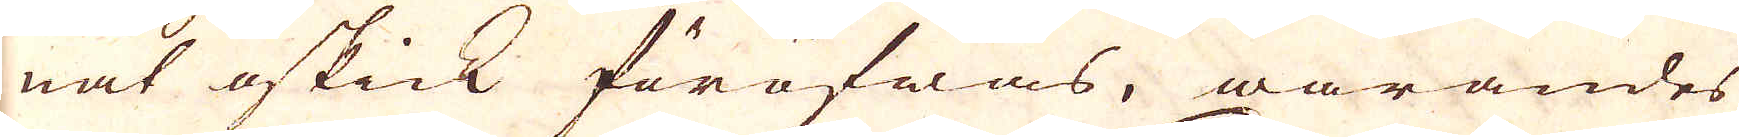nat oskick föröfwas, warandes
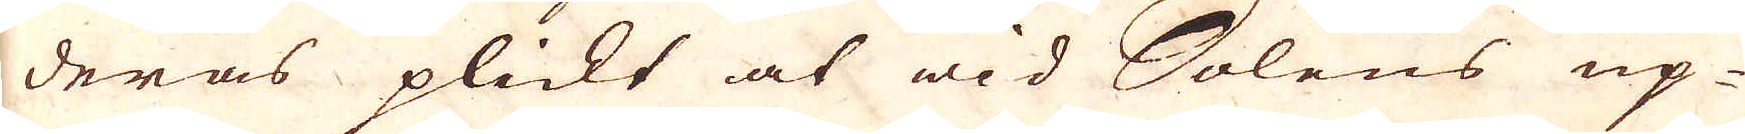deras plickt at wid Salens up-
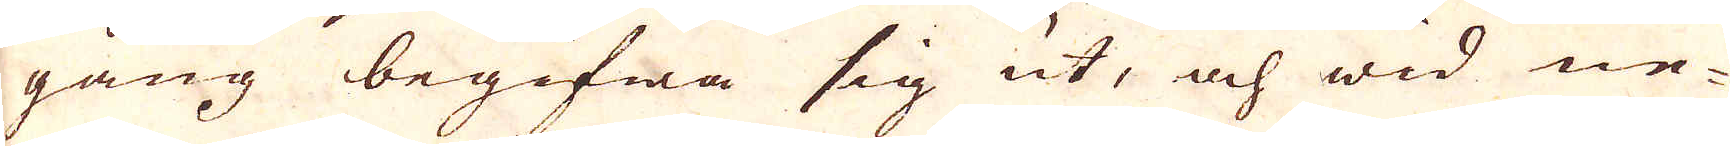gång begifwa sig ut, och wid ne-
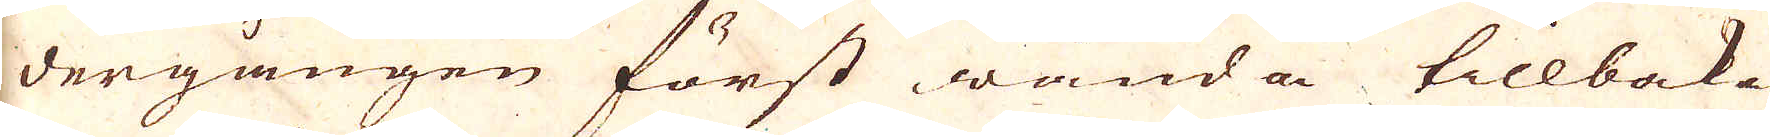dergången först wända tillbaka
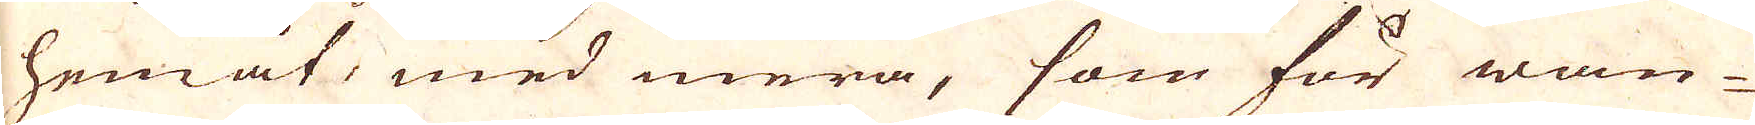hemåt med mera, som för wan-
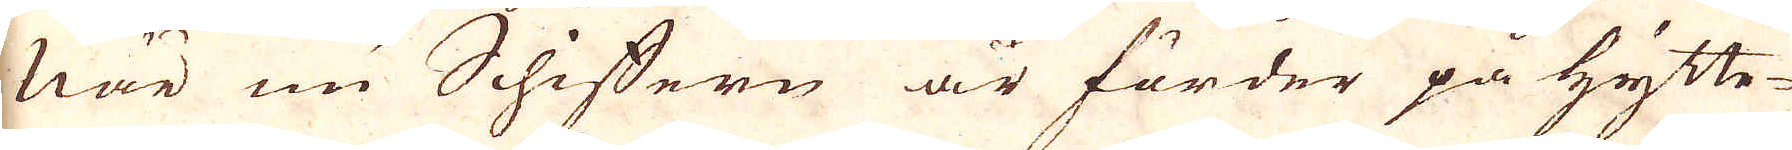När nu Schiffern är förder på hytte-
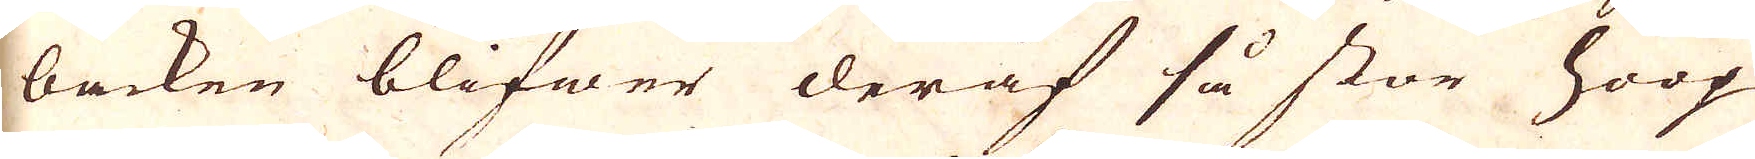backen blifwer deraf så stor hoop
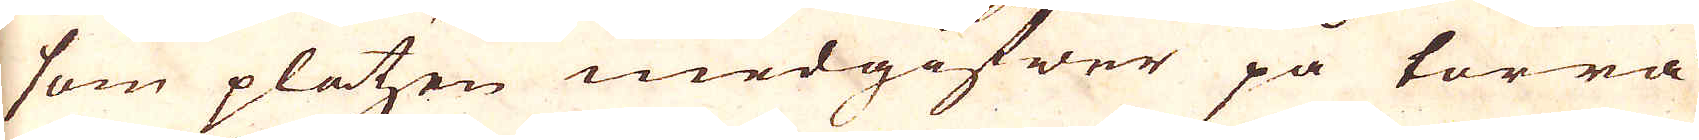som platzen medgifwer på torra
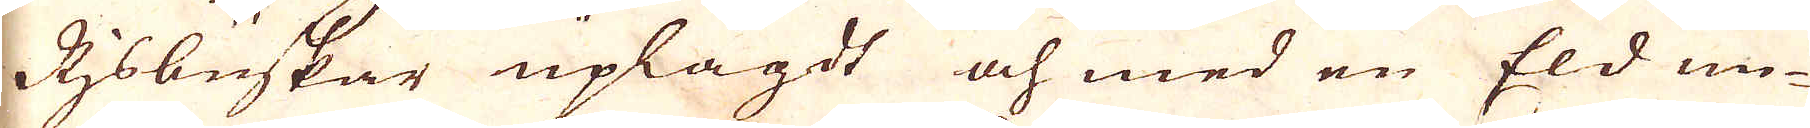Rjsbuskar uplagdt och med en Eld un-
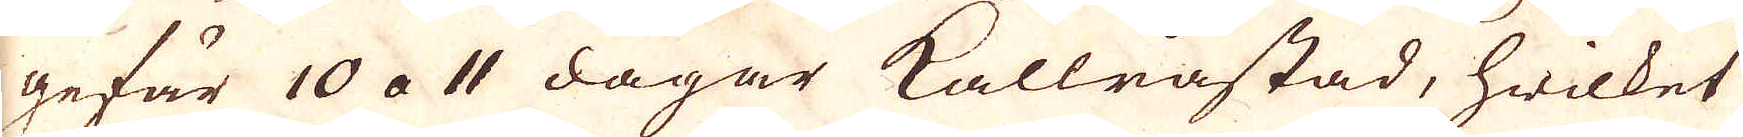gefär 10 a 11 dagar kallråstad, hwilket
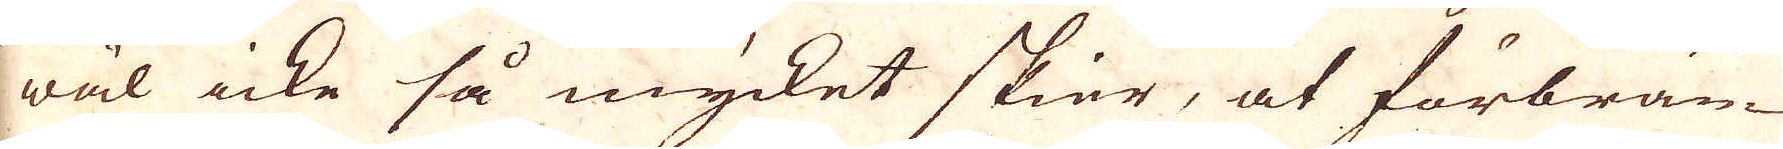wäl icke så mycket skier, at förbrän-
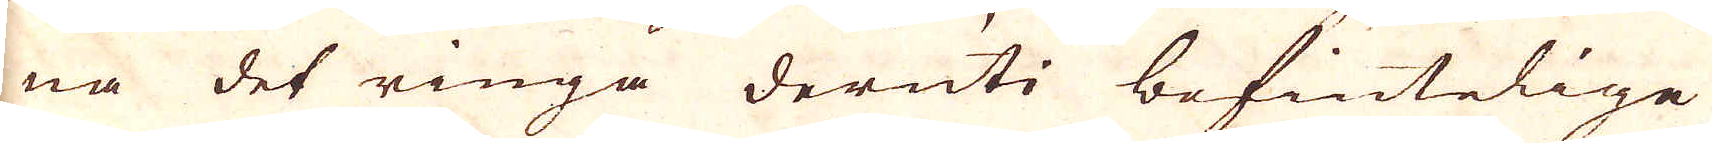na det ringa deruti befintelige
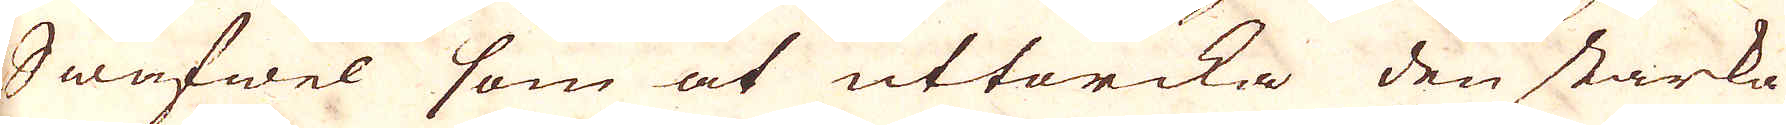Swafwel som at uttorcka den starka
